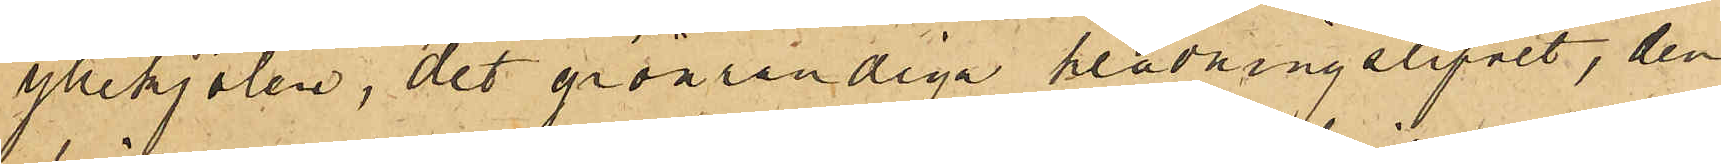yllekjolen, det grönrandiga klädningslifvet, den
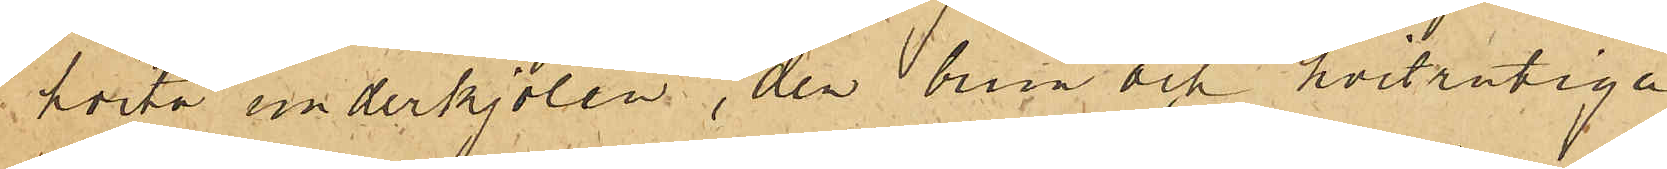hvita underkjolen, den brun och hvitrutiga
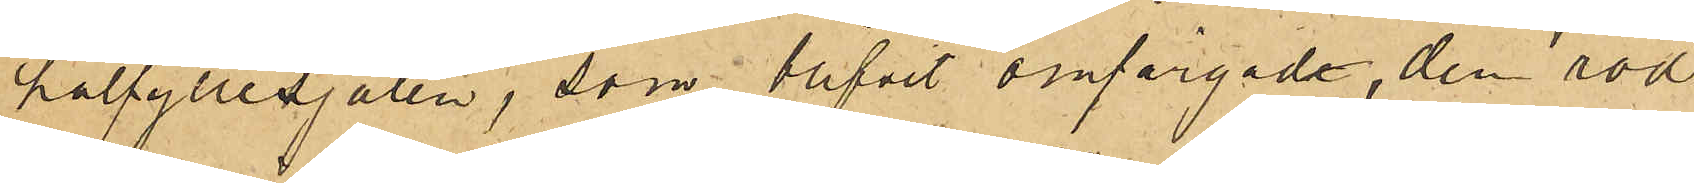halfyllesjalen, som blifvit omfärgade, den röd¬
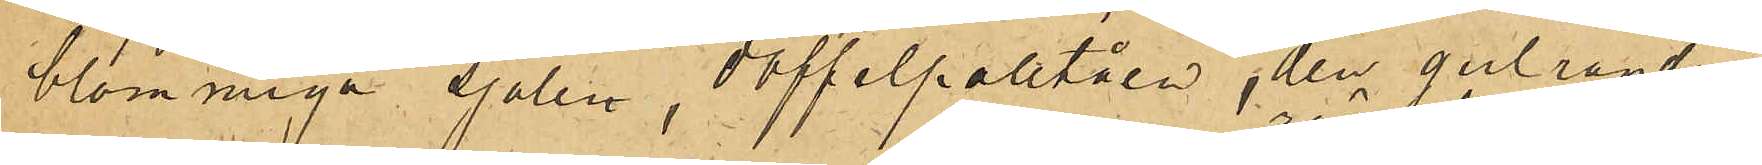blommiga sjalen, doffelpaletåen, den gulrandiga
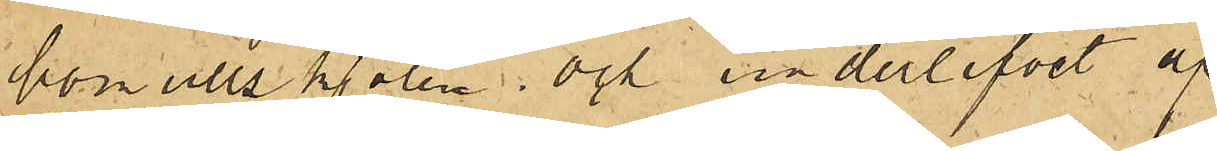bomullskjolen och underlifvet af
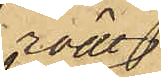rödt
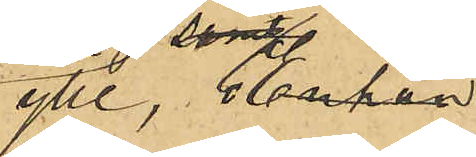ylle samt
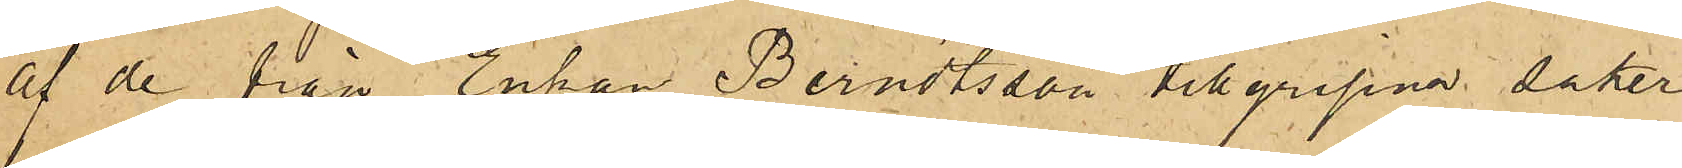af de från Enkan Berndtsson tillgripne saker
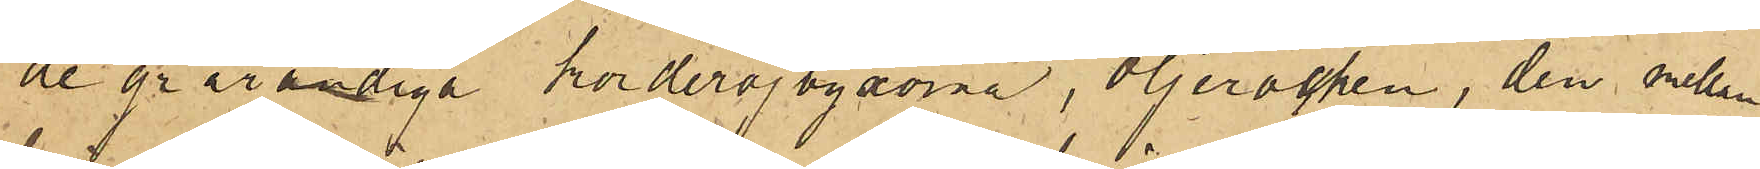de grårandiga korderojbyxorna, oljerocken, den mellan¬
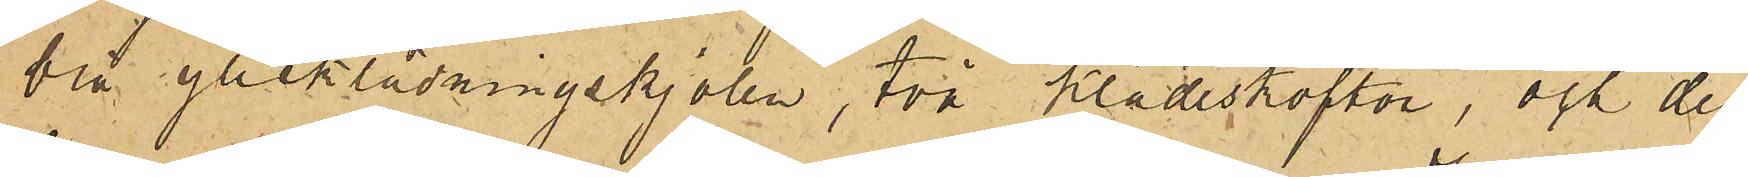blå ylleklädningskjolen, två klädeskoftor, och den
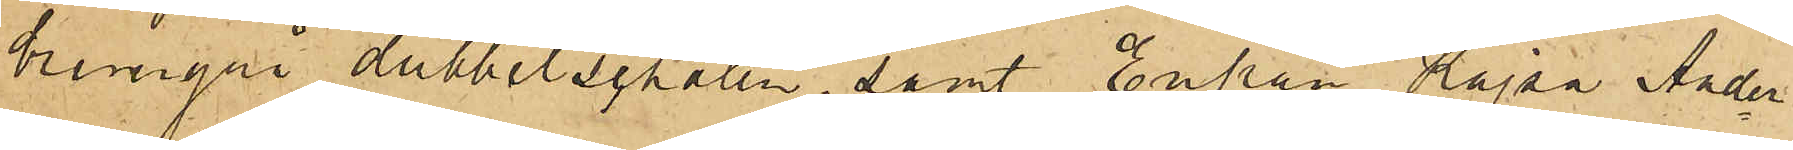brungrå dubbelsschalen, samt Enkan Kajsa Ander¬
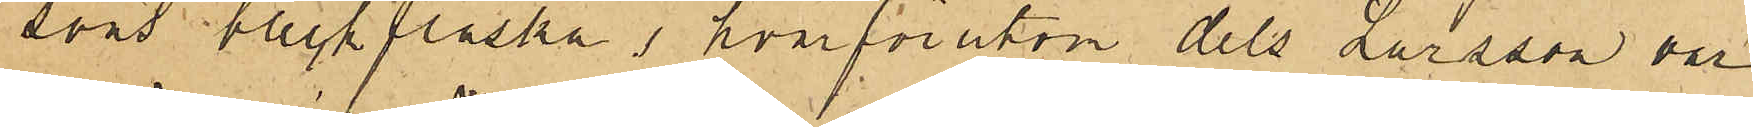sons bleckflaska, hvarförutom dels Larsson var
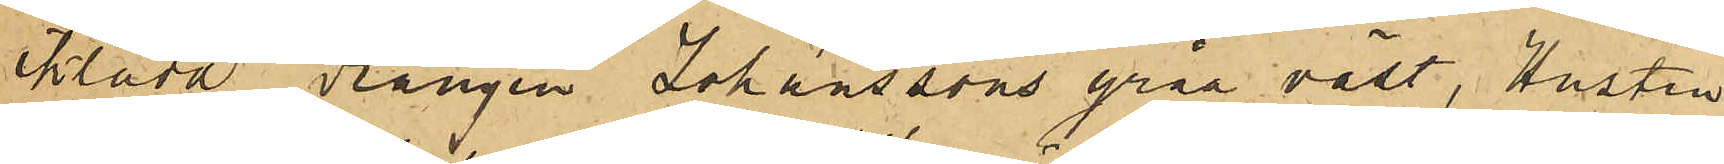iklädd drängen Johanssons gråa väst,Hustru
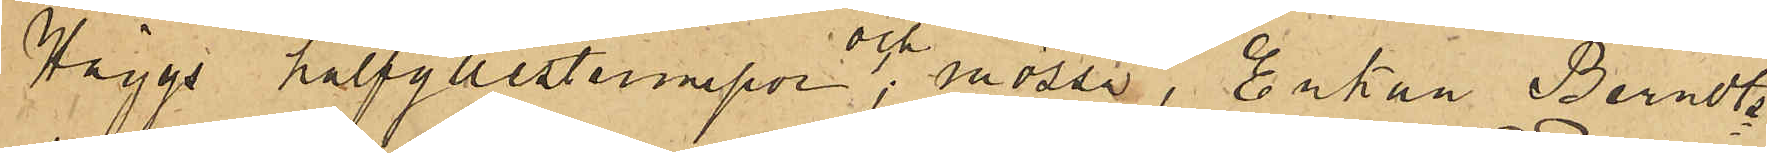Häggs halfyllestrumpor och mössa, Enkan Berndts¬
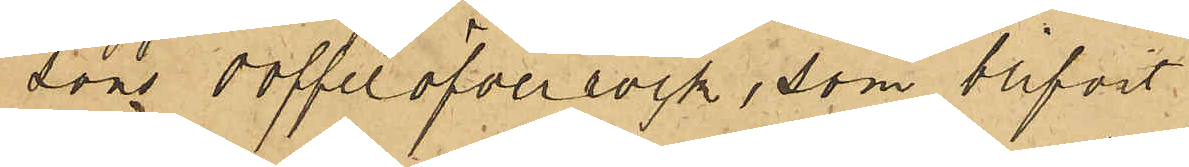sons doffelöfverrock, som blifvit
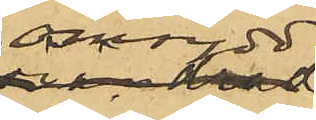omsydd,
